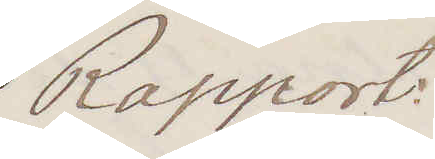Rapport:
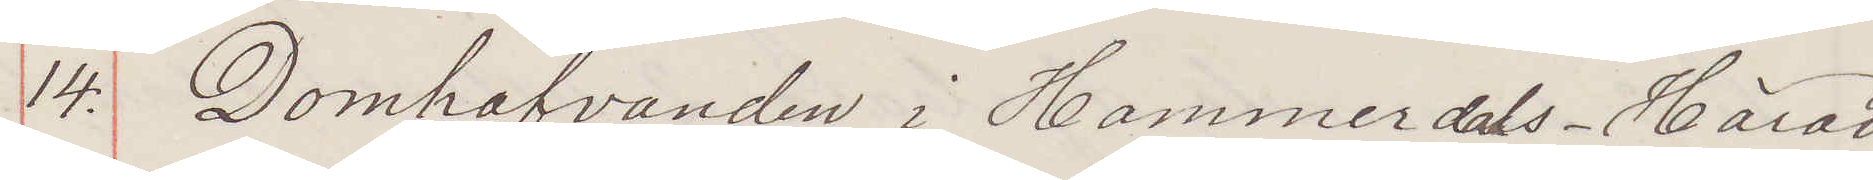14: Domhafvanden i Hammersdals Härad
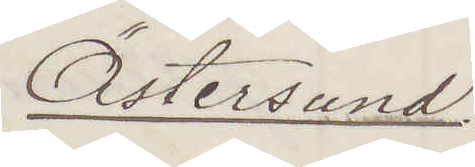Östersund
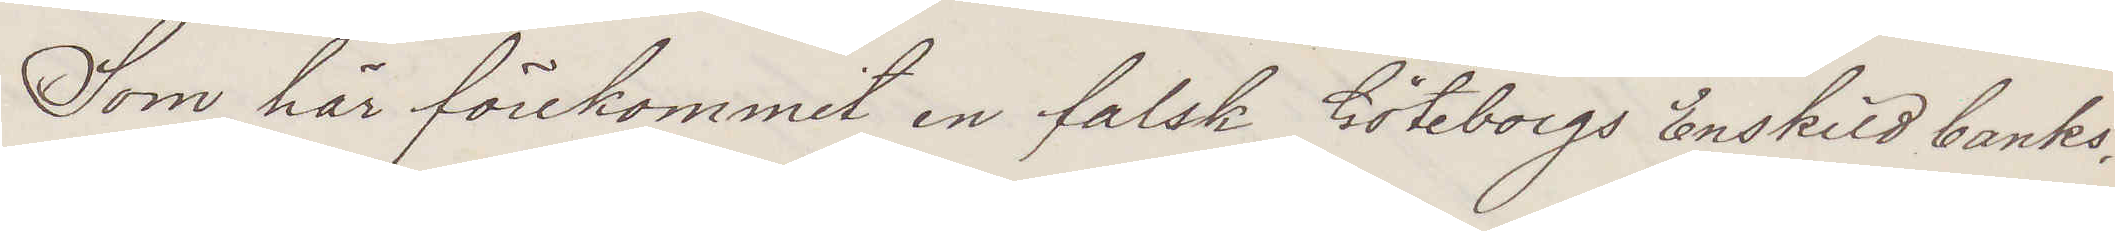Som här förekommit en falsk Göteborgs Enskild banks,
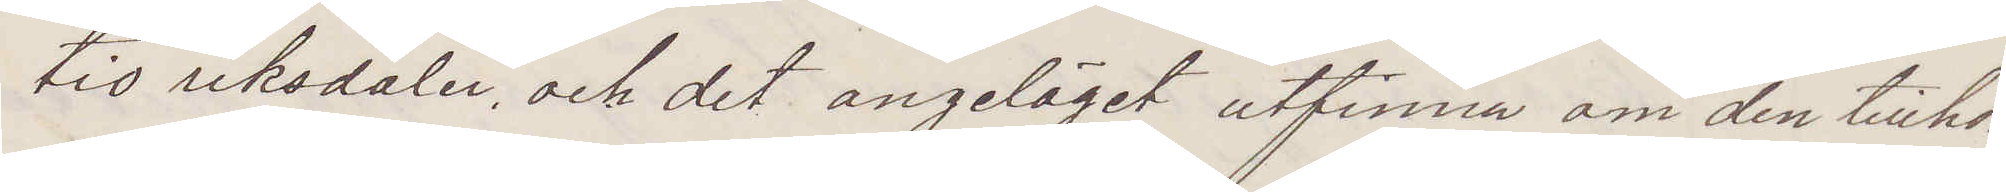tio riksdaler och det angeläget utfinna om den tillhör
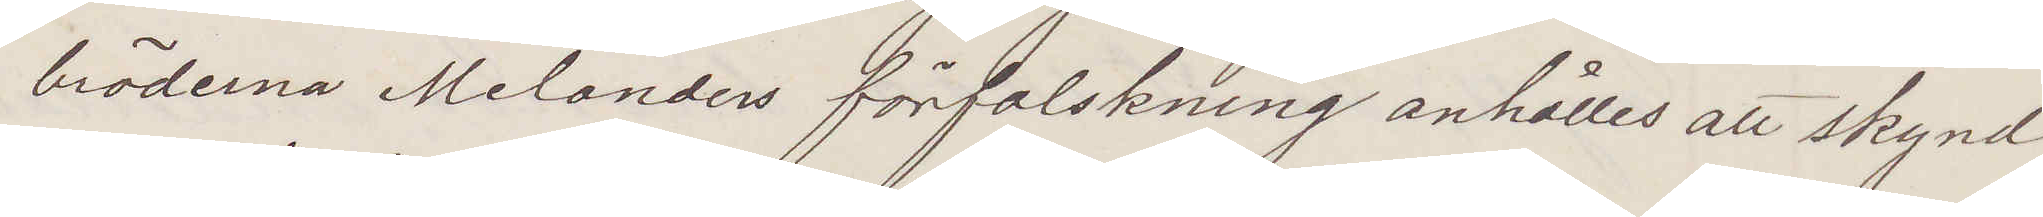bröderna Melanders förfalskning anhålles all skynd¬
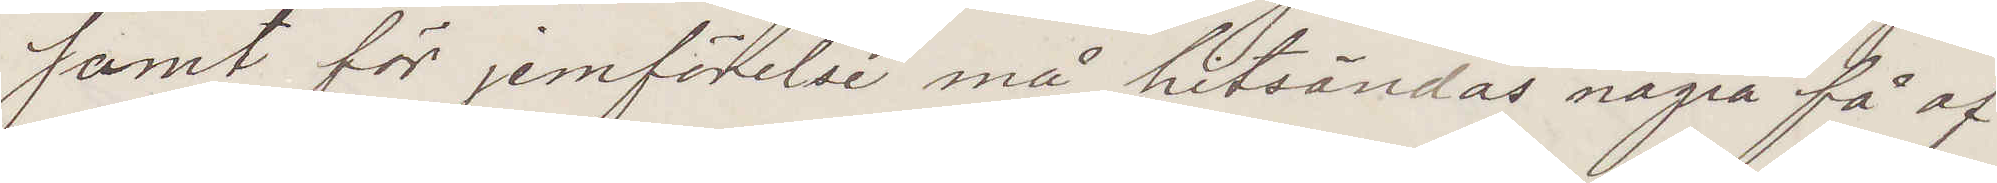samt för jemförelse må hitsändas några få af
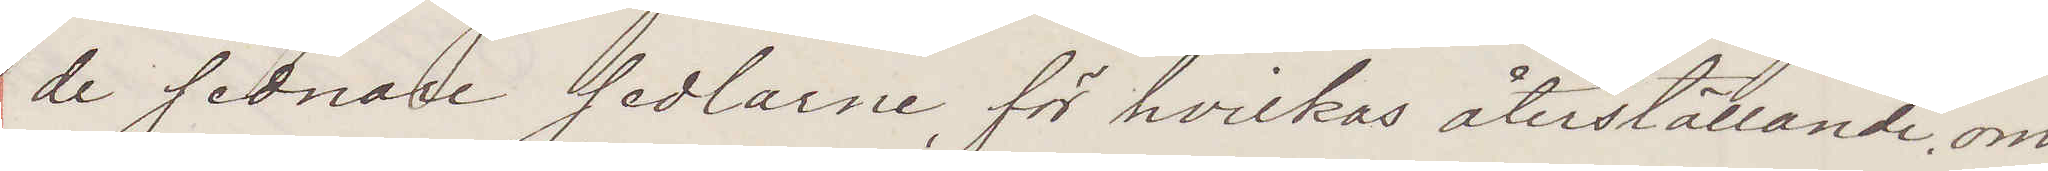de sednare sedlarne, för hvilkas återställande om
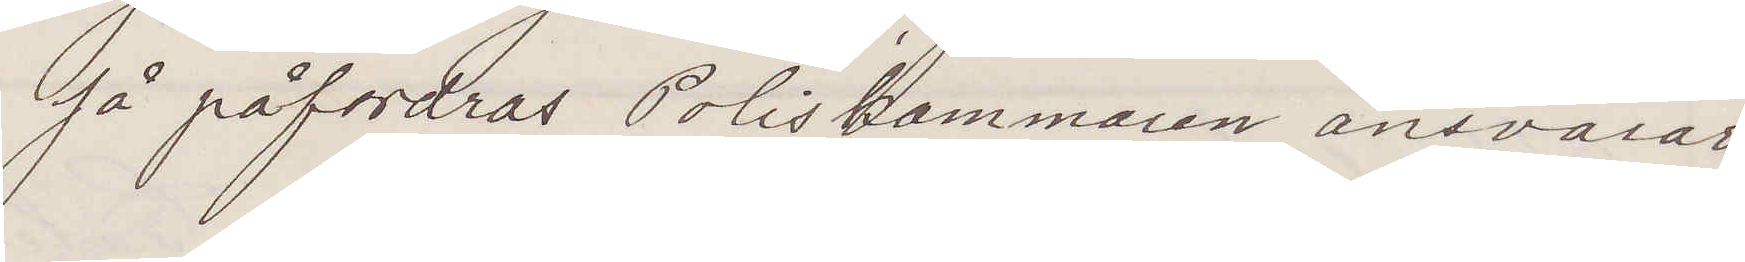så påfordras Poliskammaren ansvarar
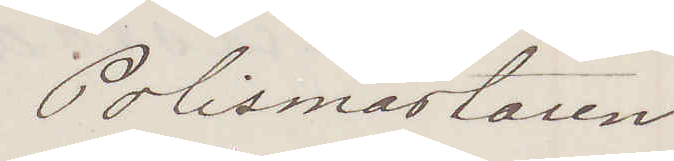Polismästaren
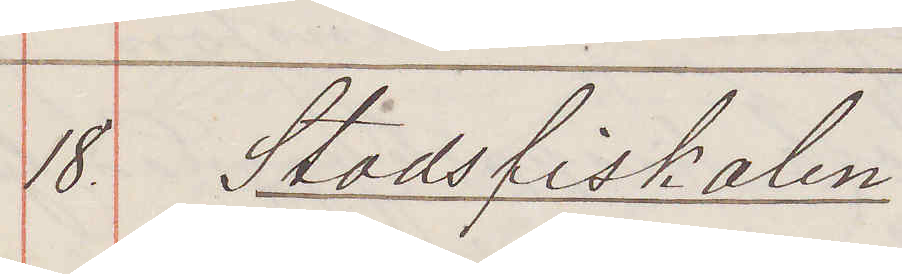18. Stadsfiskalen
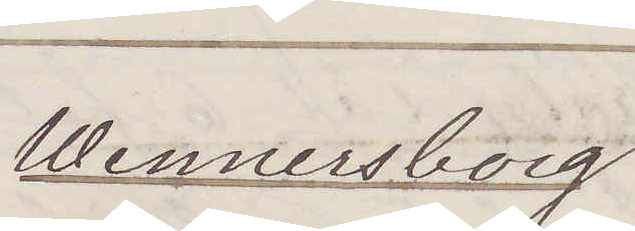Wennersborg
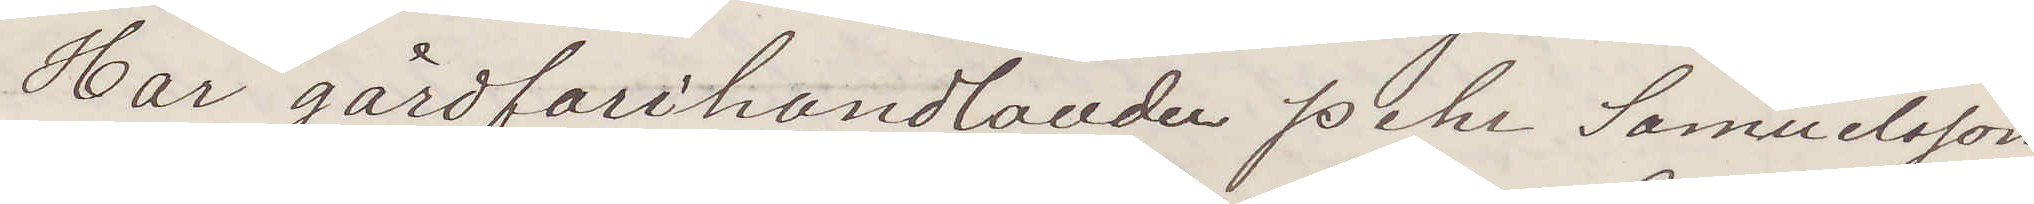Har gårdfarihandlanden Pehr Samuelsson
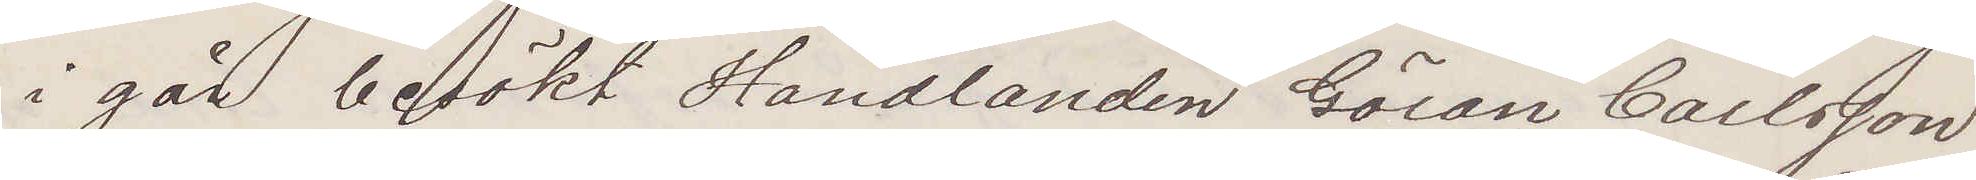i går besökt Handlanden Göran Carlsson
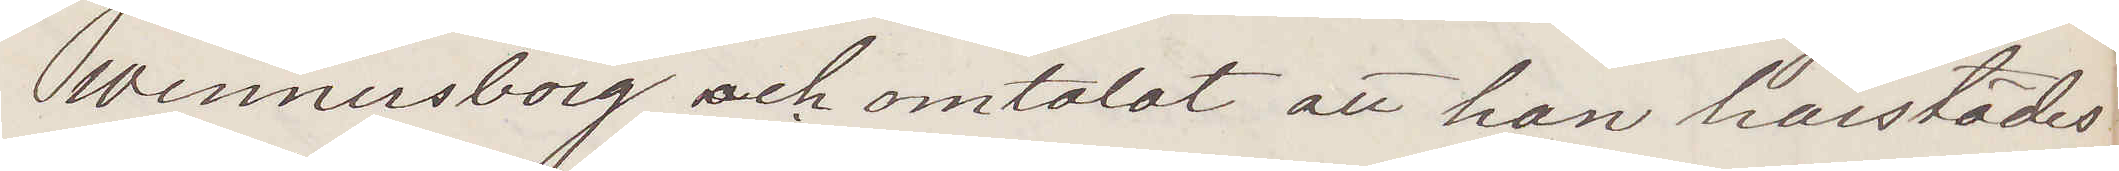Wennersborg och omtalat att han härstädes
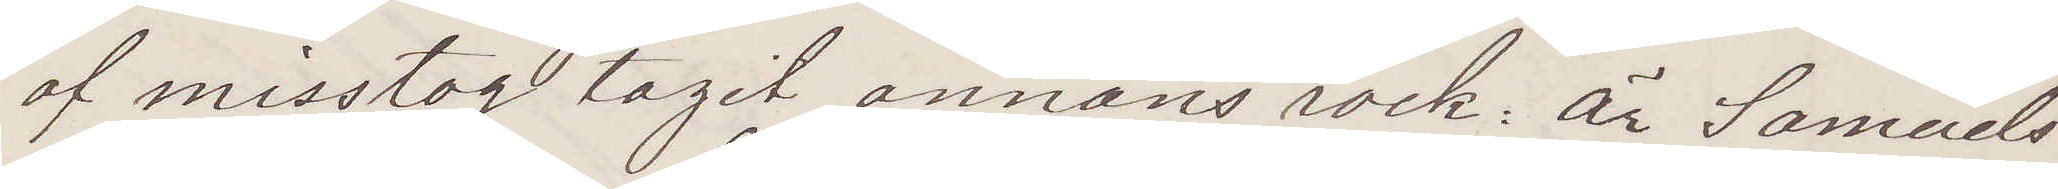af misstag tagit annans rock: Är Samuels¬
